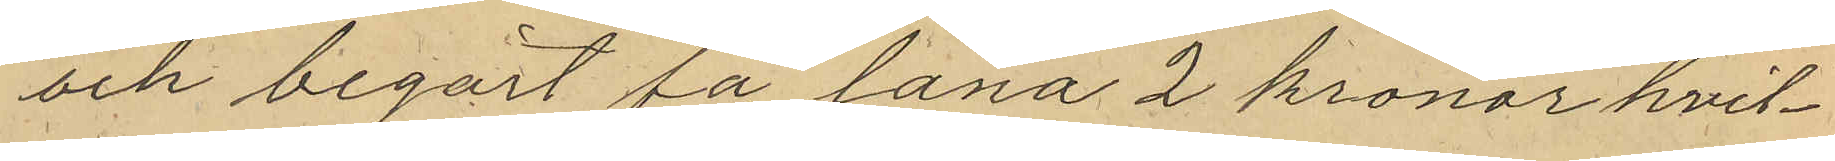och begärt få låna 2 kronor hvil¬
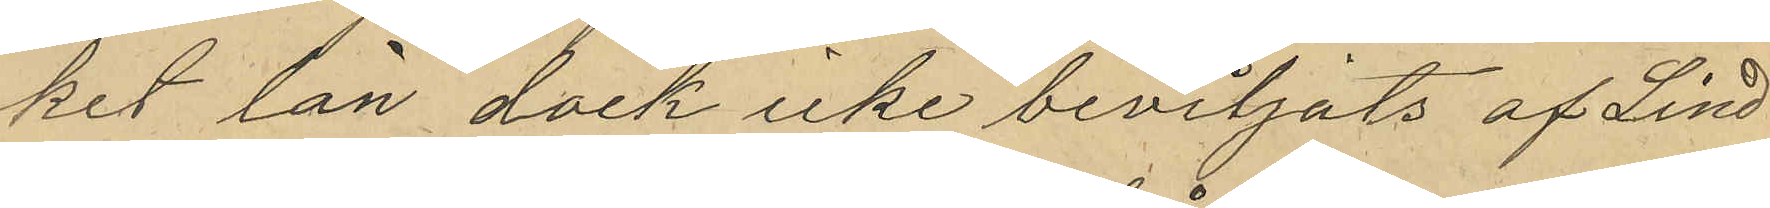ket lån dock icke beviljats af Lind¬
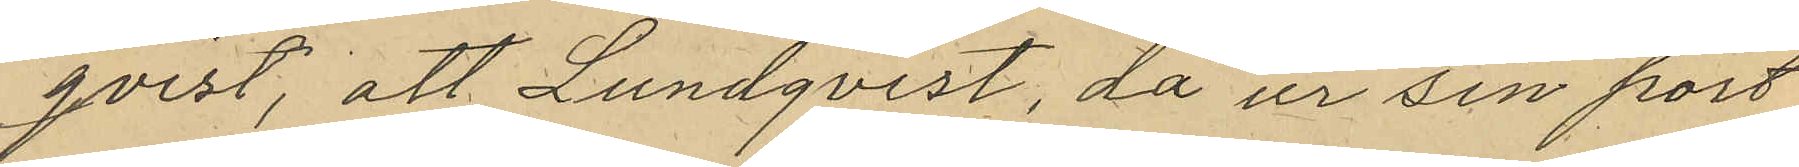qvist, att Lundqvist, då ur sin port¬
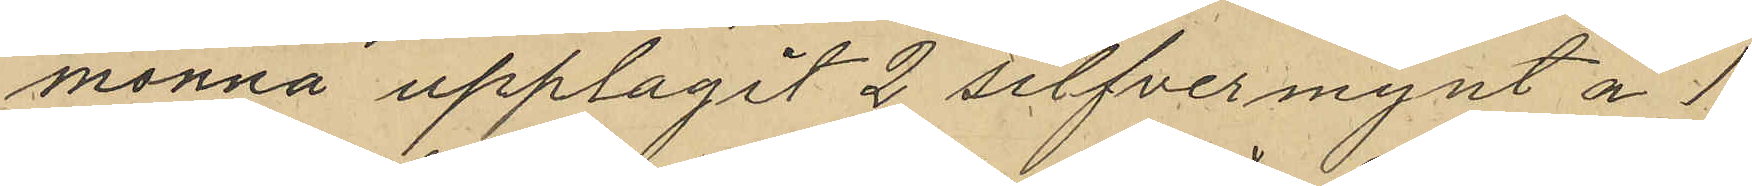monnä upplagit 2 silfvermynt å 1
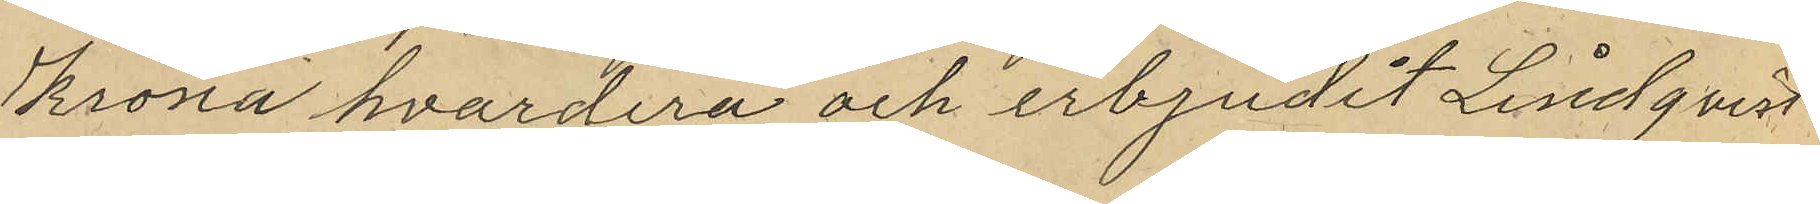Krona hvardera och erbjudit Lindqvist
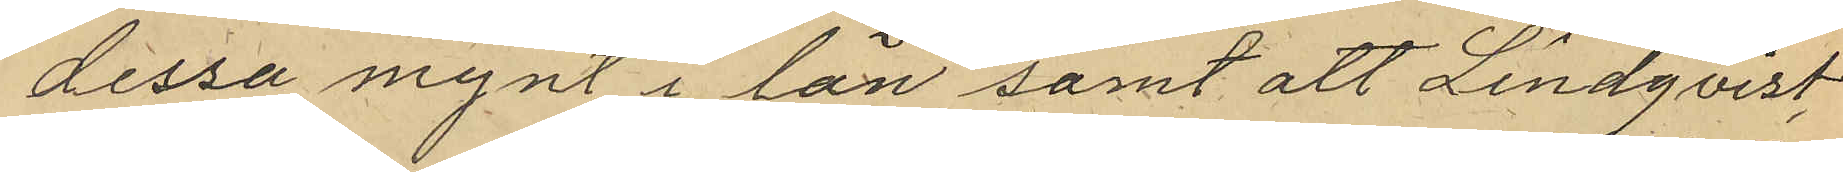dessa mynt i lån samt att Lindqvist,
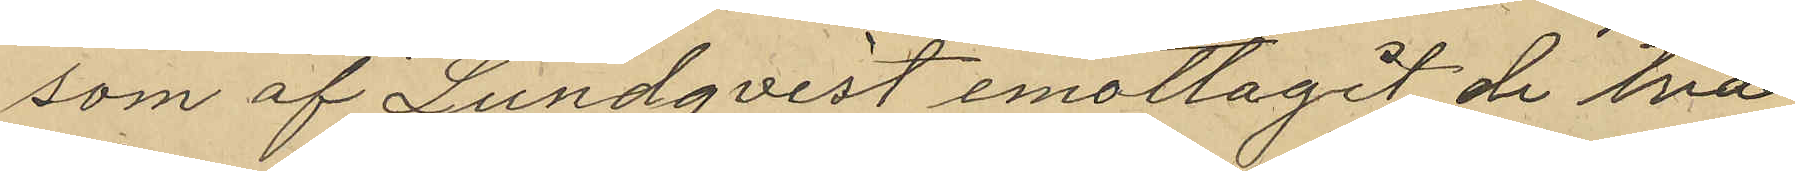som af Lundqvist emottagit de två
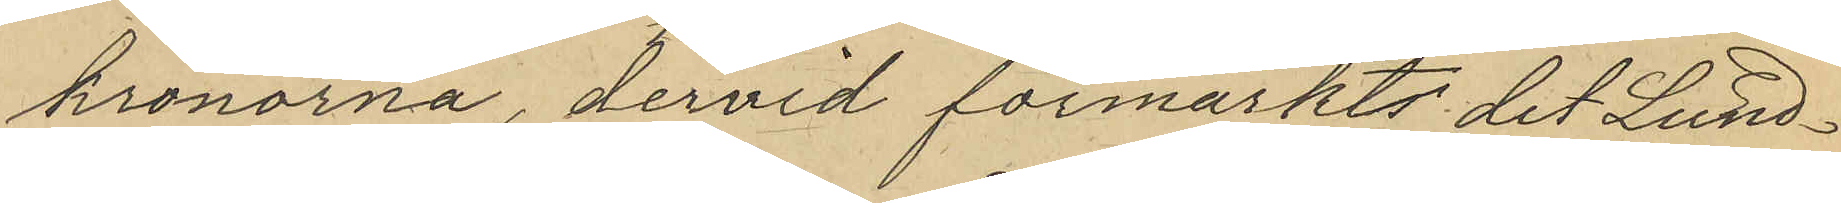kronorna, dervid förmärkts det Lund¬
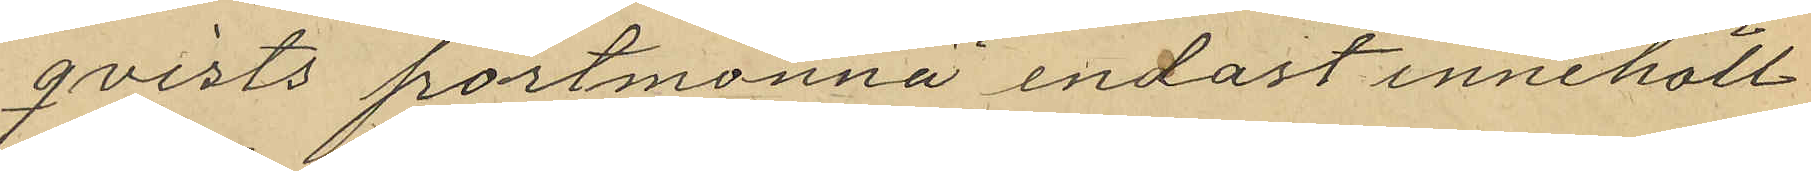qvists portmonnä endast innehöll
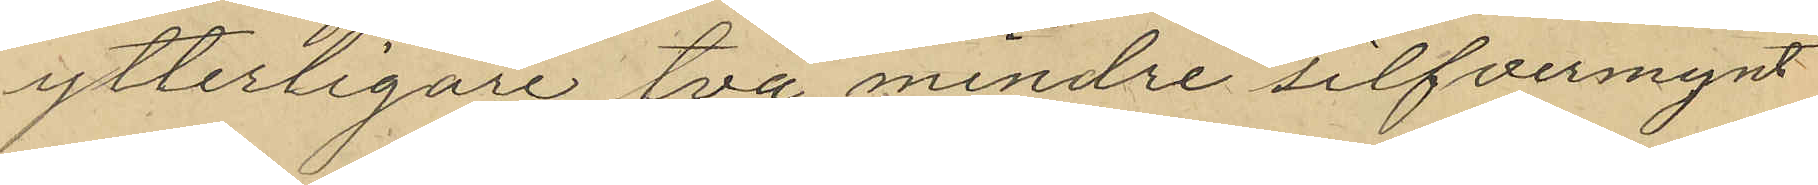ytterligare två mindre silfvermynt
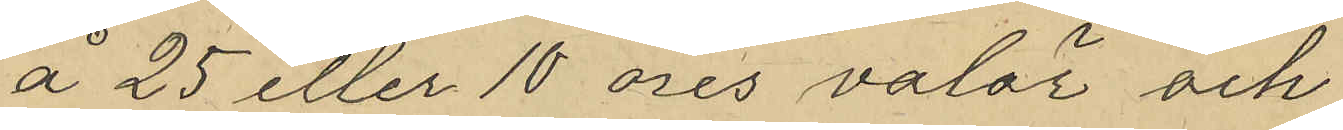å 25 eller 10 öres valör och
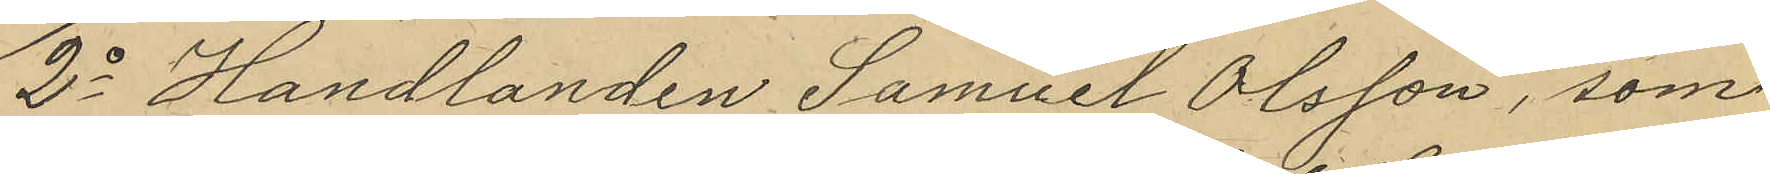2o Handlanden Samuel Olsson, som
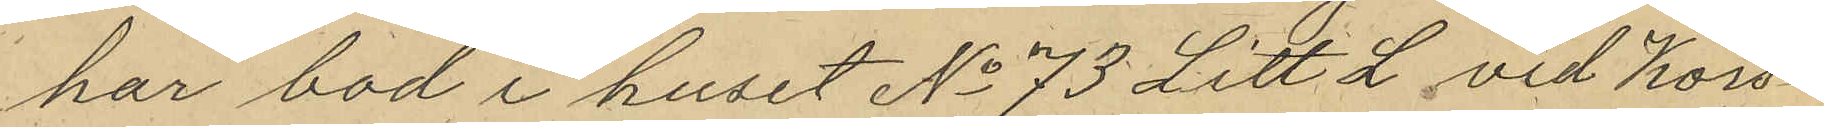har bod i huset No 73 Litt L vid Kors¬
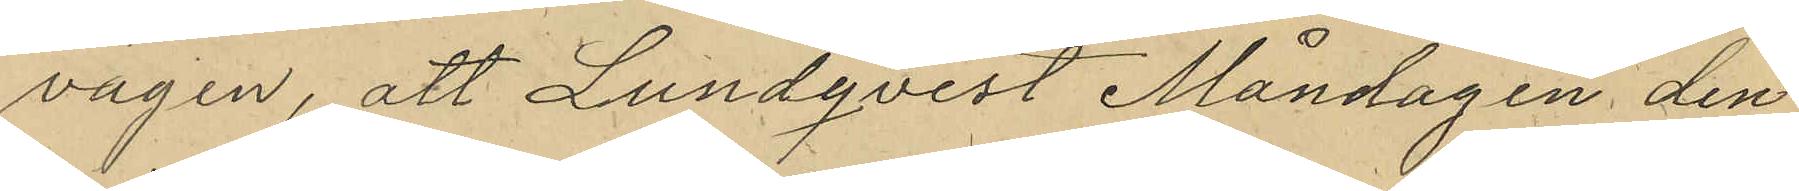vagen, att Lundqvist Måndagen den
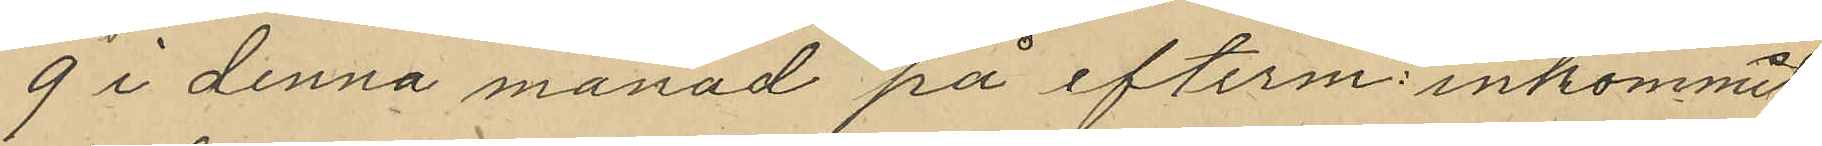9 i denna månad på efterm. inkommit
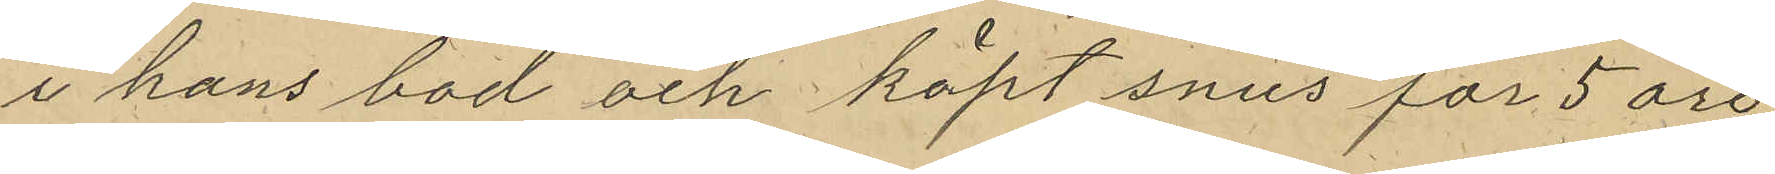i hans bod och köpt snus för 5 öre,
